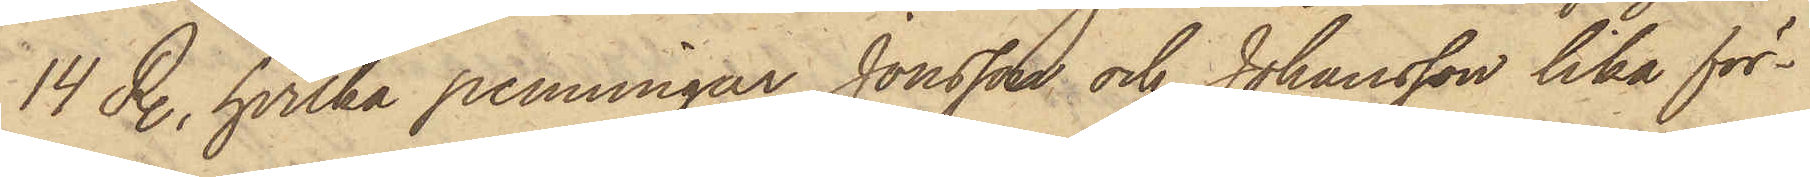14 R., hvilka penningar Jonsson och Johansson lika för¬
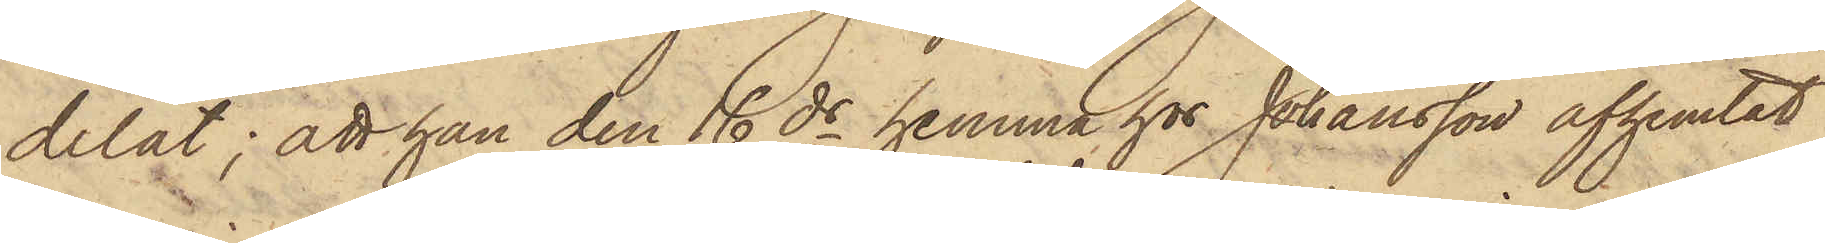delat; att han den 16 ds hemma hos Johansson afhemtat
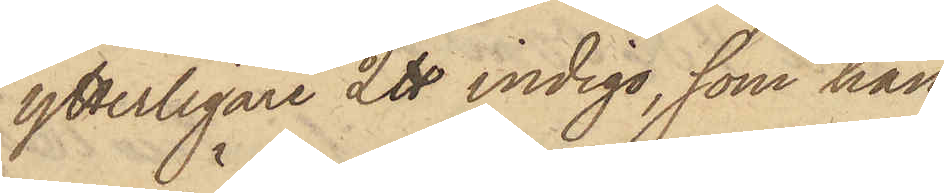ytterligare 2 ℔ indigo, som han
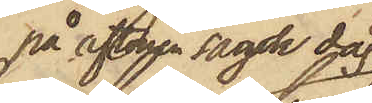på aftonen sagde dag
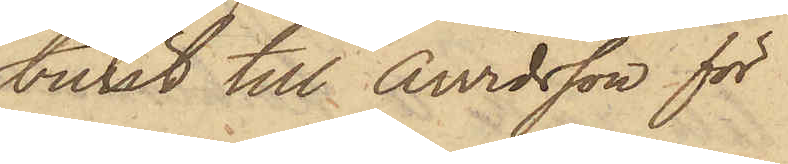burit till Arvidsson för
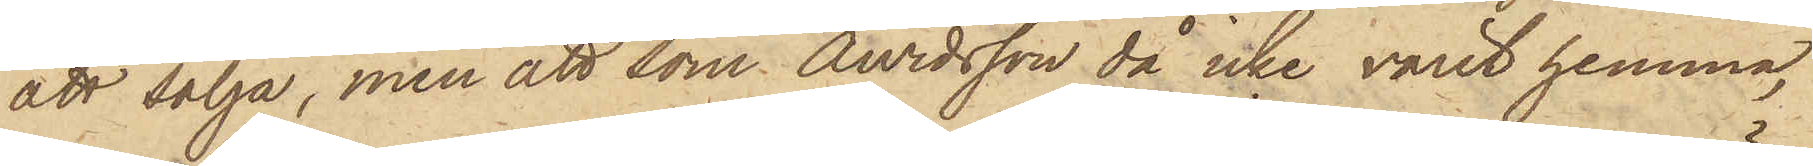att sälja, men att som Arvidsson då icke varit hemma,
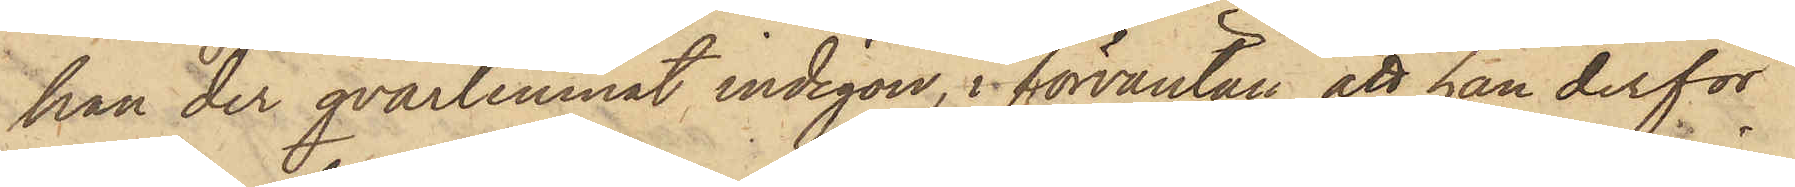han der qvarlemnat indigon, i förväntan att han derför
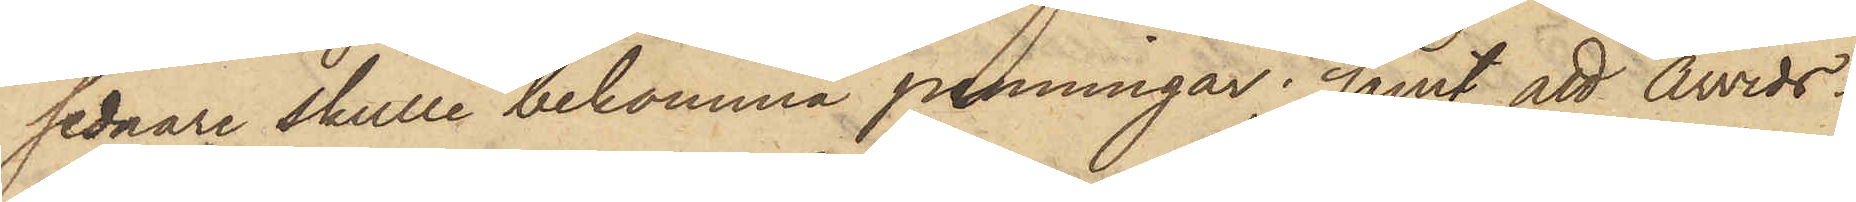sednare skulle bekomma penningar; samt att Arvids¬
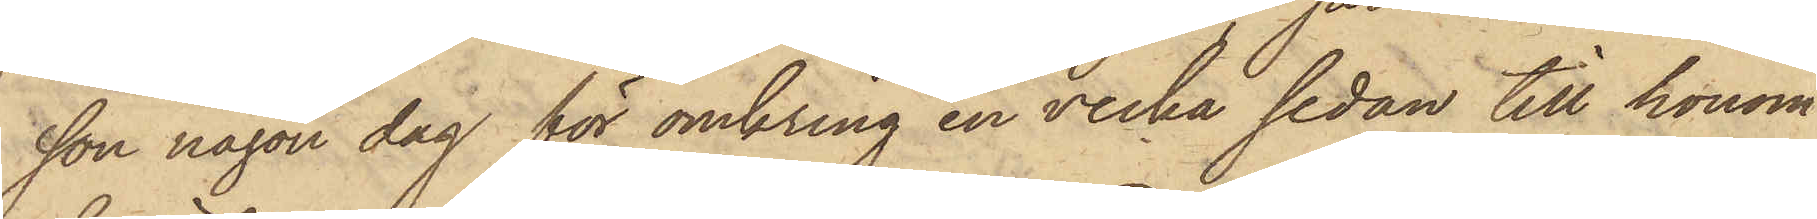son någon dag för omkring en vecka sedan till honom
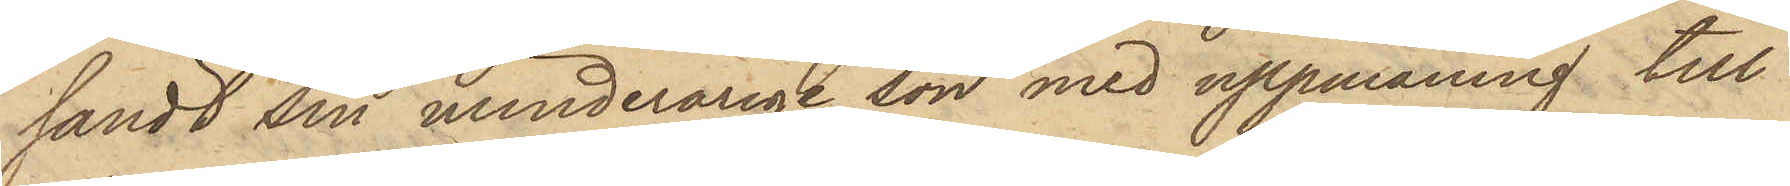sändt sin minderårige son med uppmaning till
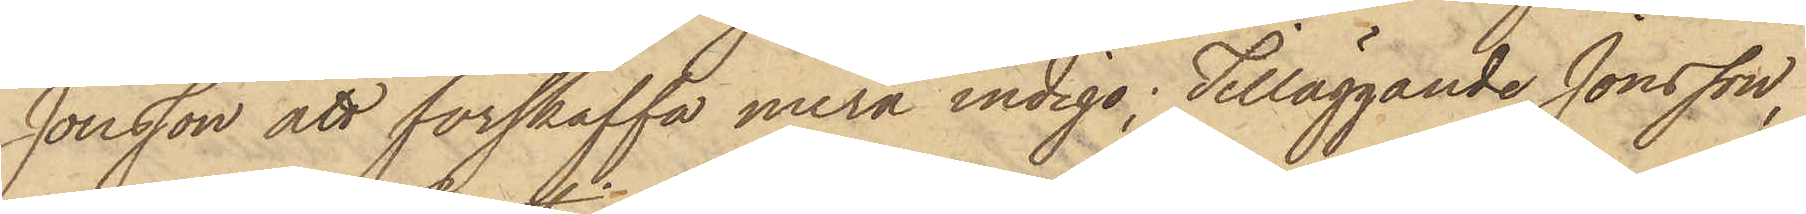Jonsson att förskaffa mera indigo; Tilläggande Jonsson,
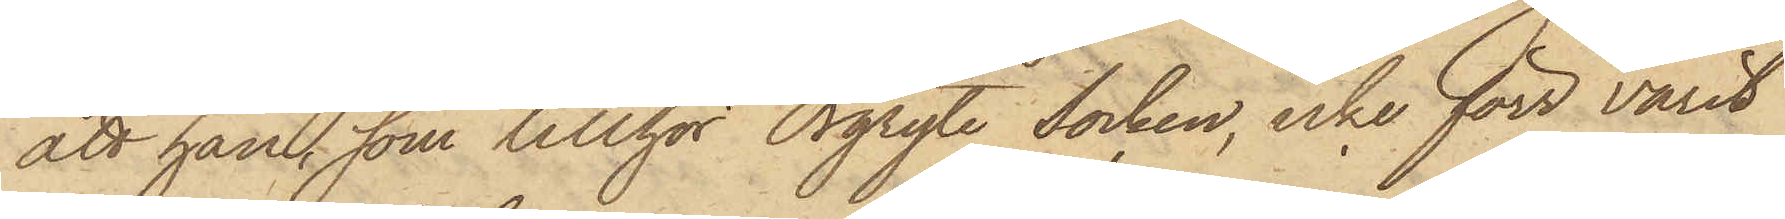att han, som tillhör Orgryte Socken, icke förr varit
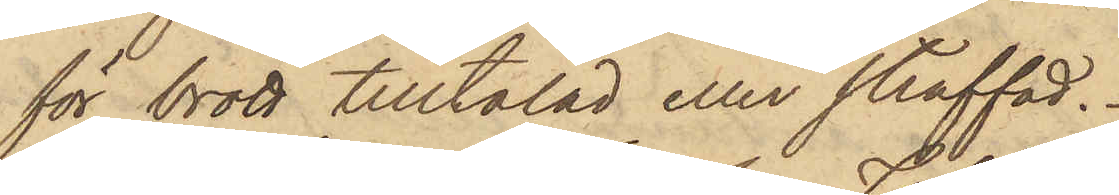för brott tilltalad eller straffad.
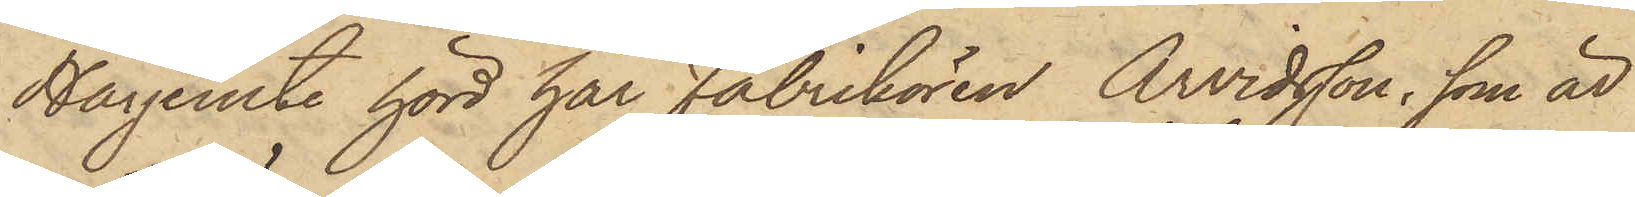Härjemte hörd har Fabrikören Arvidsson, som är
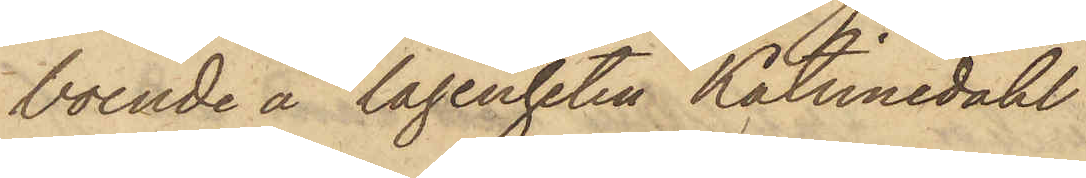boende å lägenheten Katrinedahl
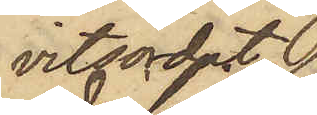vitsordat
